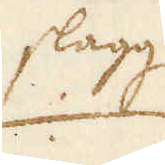slagg
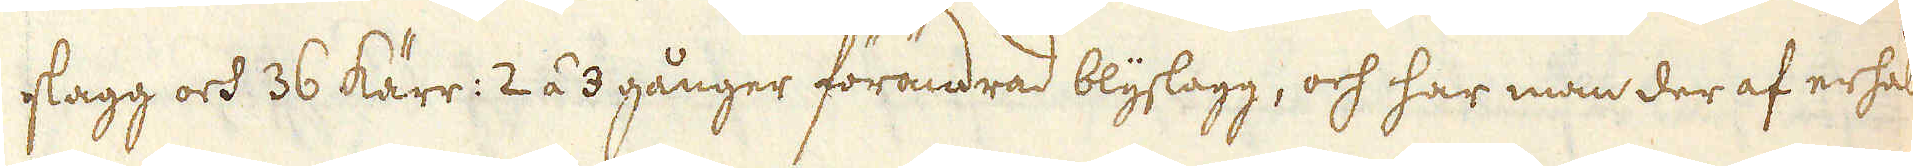slagg och 36 kärr: 2 á 3 gånger förändrad blyslagg, och har man der af erhålit
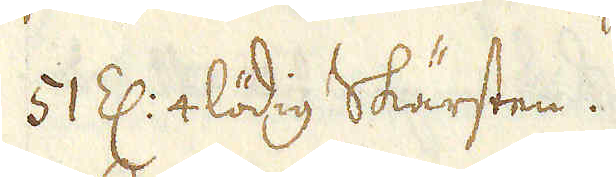51 Z: 4 lödig Skärsten.
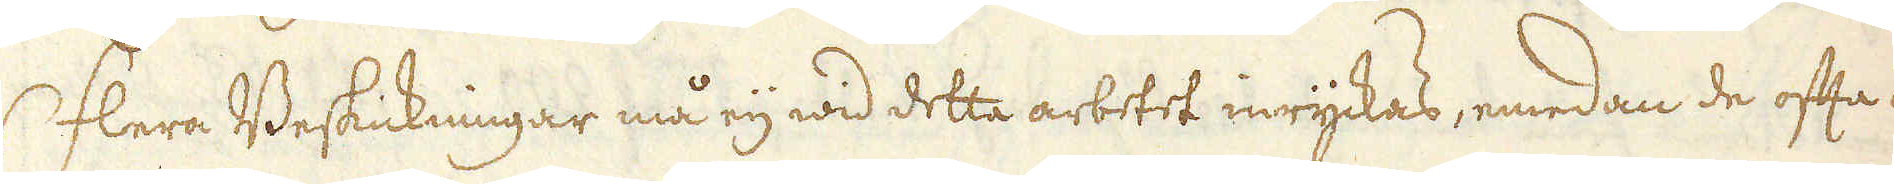Flera Beskickningar må eij wid detta arbetet inryckas, emedan de ofta af
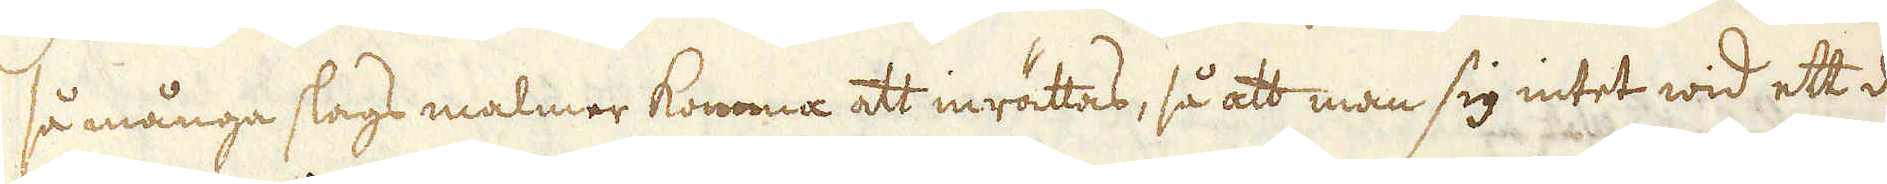så många slags malmer komma att inrättas, så att man sig intet wid ett der
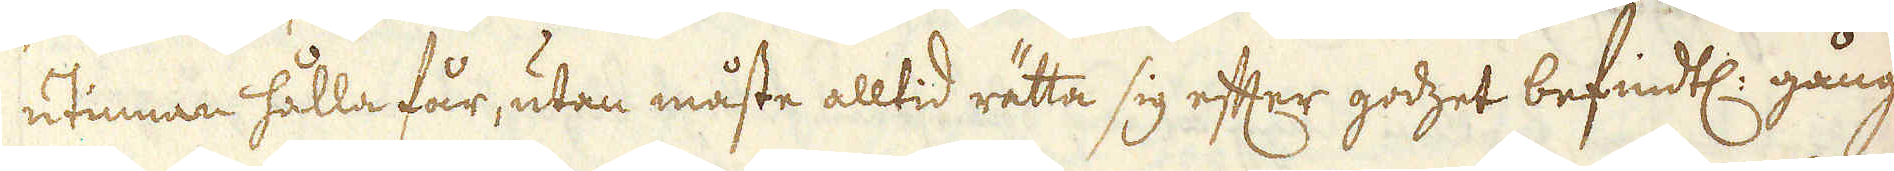utinnan hålla får, utan måste alltid rätta sig efter godzet befindtl: gång
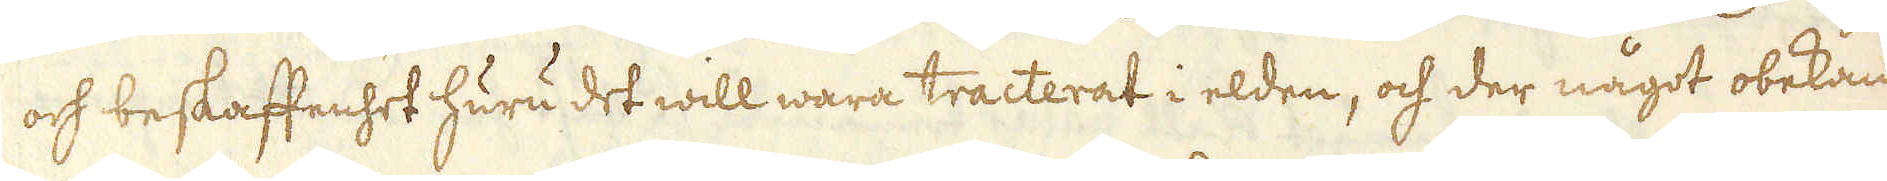och beskaffenhet huru det will wara tracterat i elden, och der något obekandt
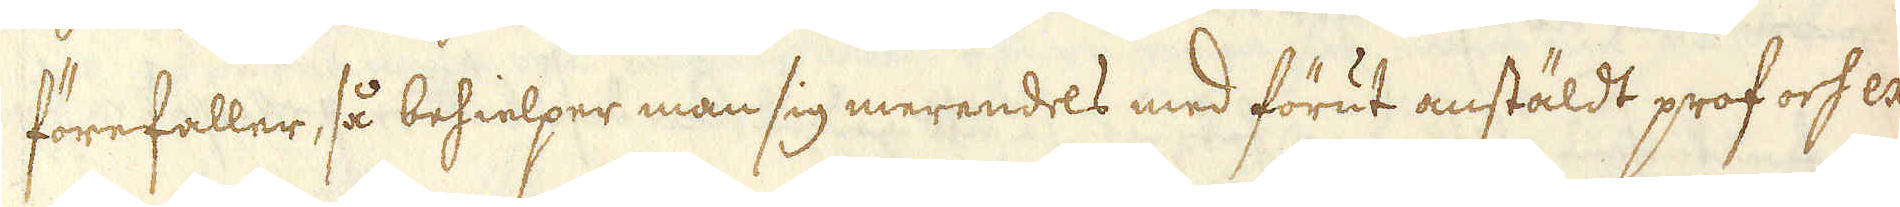förefaller, så behielper man sig merendels med förut anstäldt prof och exa-
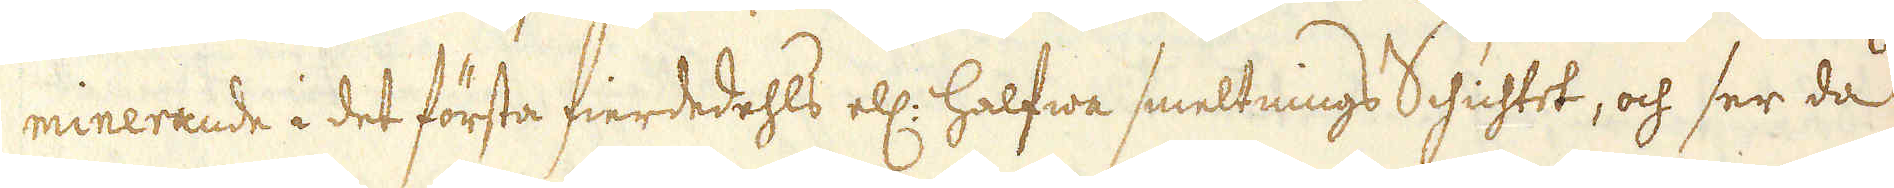minerande i det första fierdedehls ell: halfwa smeltnings Schichtet, och ser då
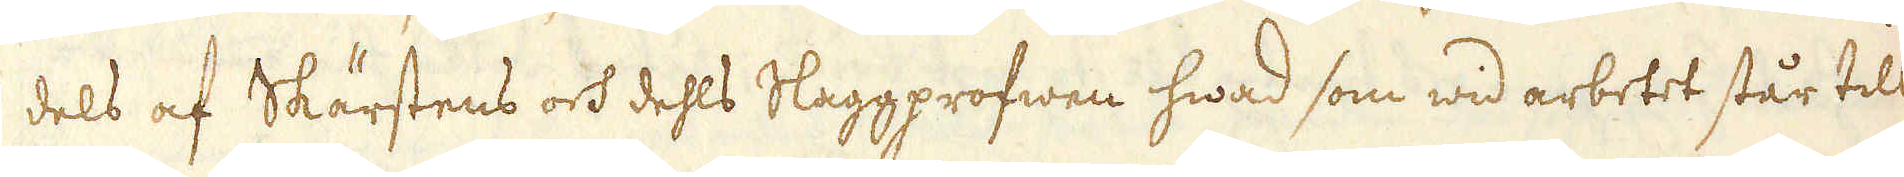dels af Skärstens och dehls Slaggprofwen hwad som wid arbetet står till
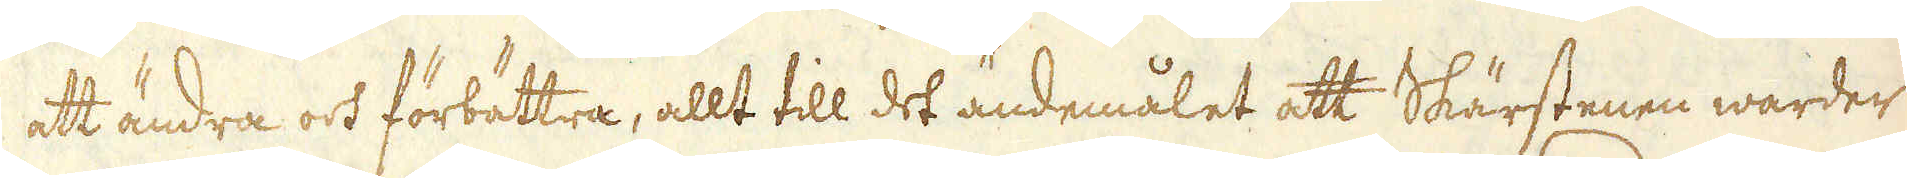att ändra och förbättra, allt till det ändemålet att Skärstenen warder
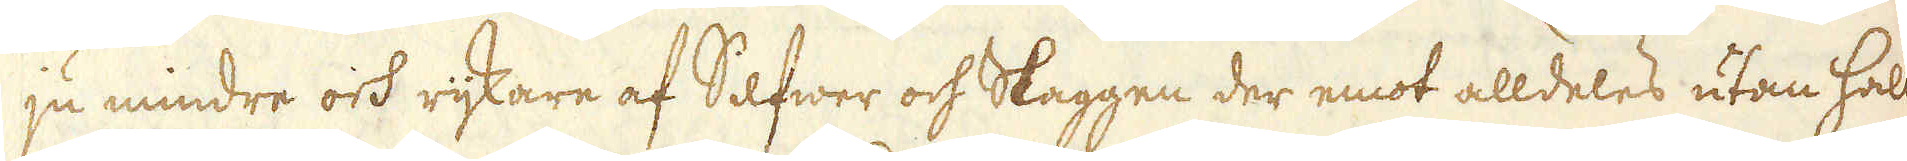ju mindre och rijkare af Silfwer och Slaggen der emot alldeles utan halt
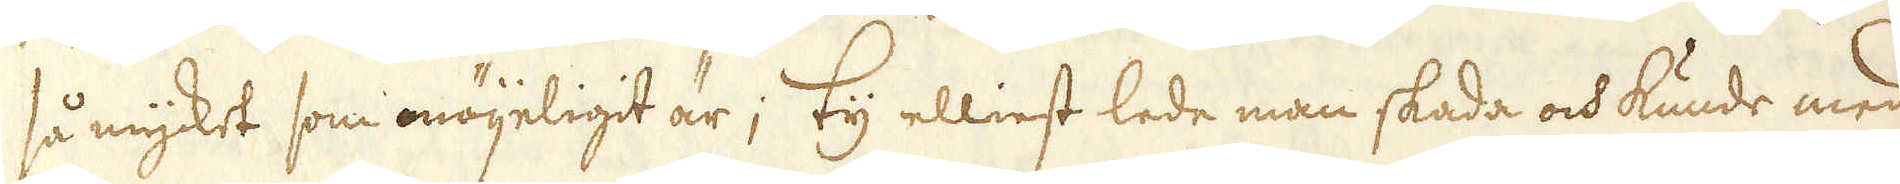så mycket som möjeligit är; ty elliest lede man skada och kunde med
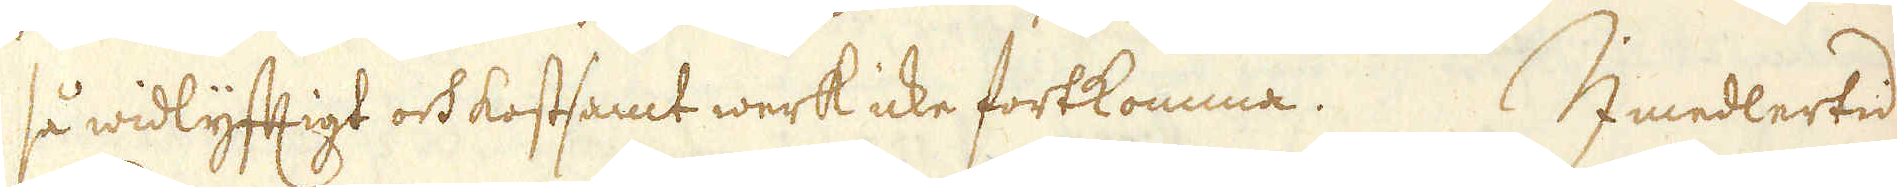så widlyftigt och kostamt werk icke fortkomma. Imedlertid
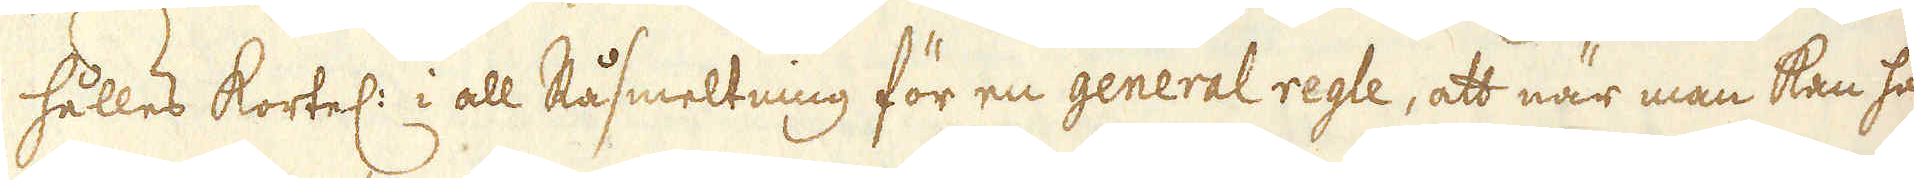hålles kortel: i all Råsmeltning för en general regle, att när man kan haf
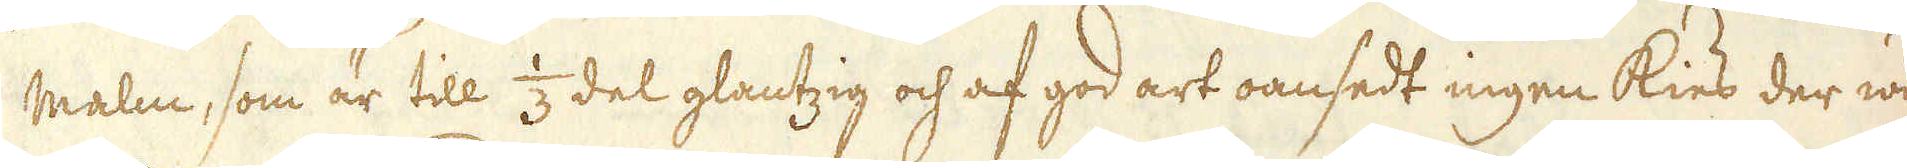malm, som är till 1/3 del glantzig och af god art oansedt ingen kies der wid
